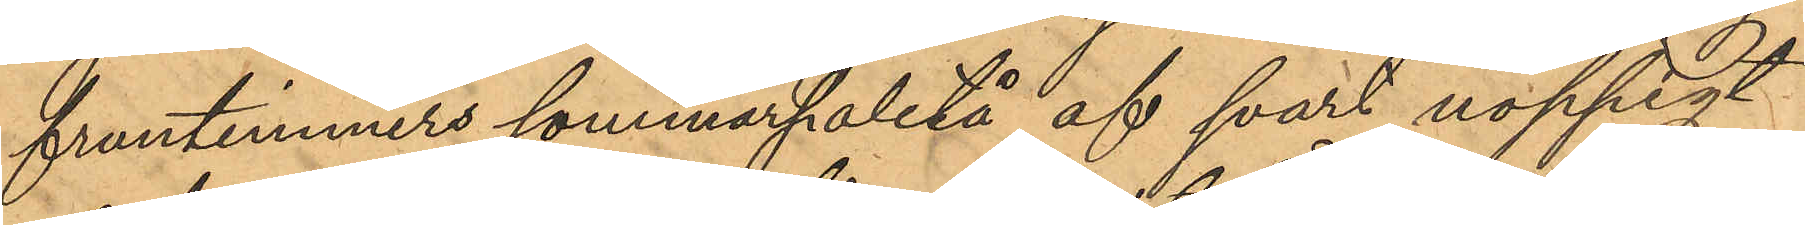fruntimmers sommarpaletå af svart noppigt
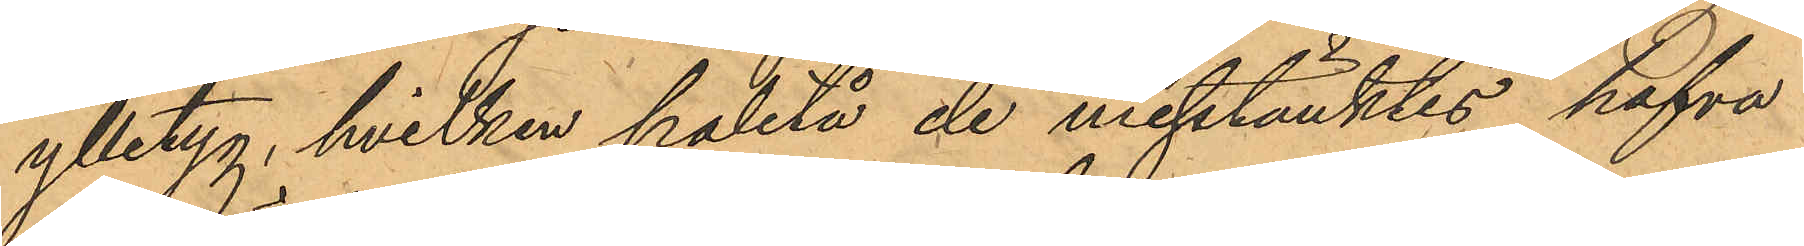ylletyg, hvilken paletå de misstänktes hafva
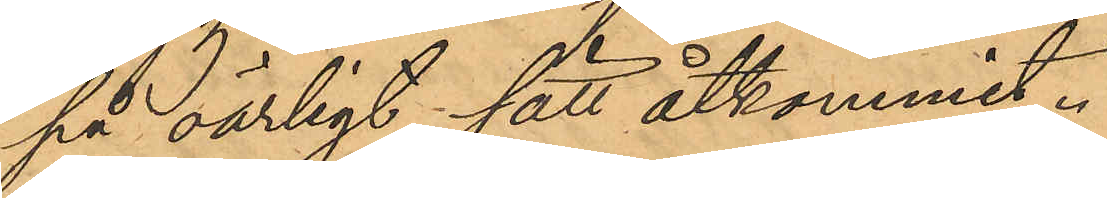på oärligt sätt åtkommit.
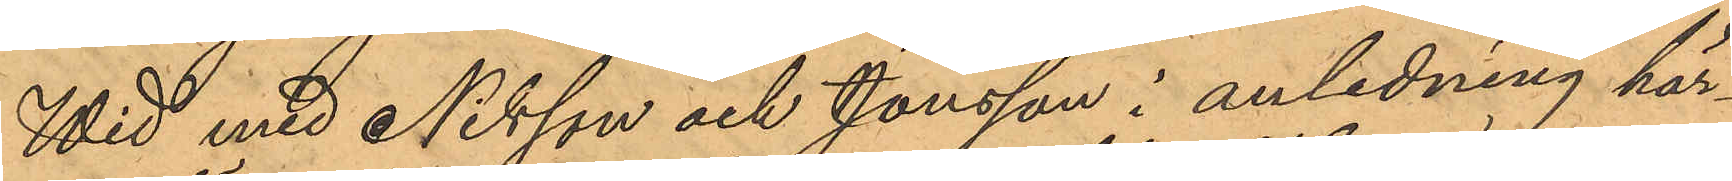Wid med Nilsson och Jonsson i anledning här¬
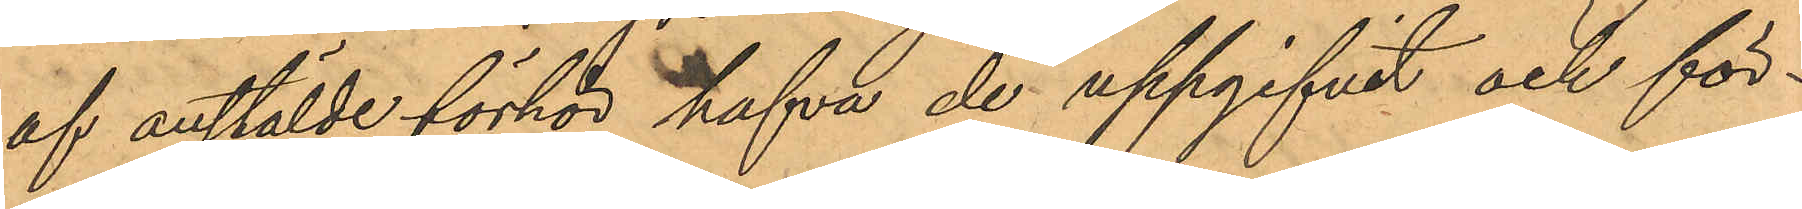af anstälde förhör hafva de uppgifvit och för¬
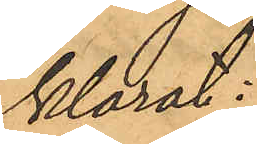klarat:
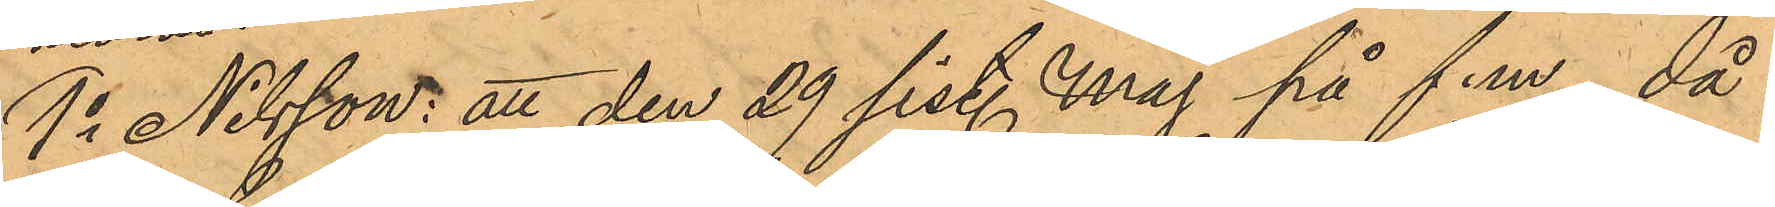1o Nilsson: att den 29 sist. Maj på f.m, då
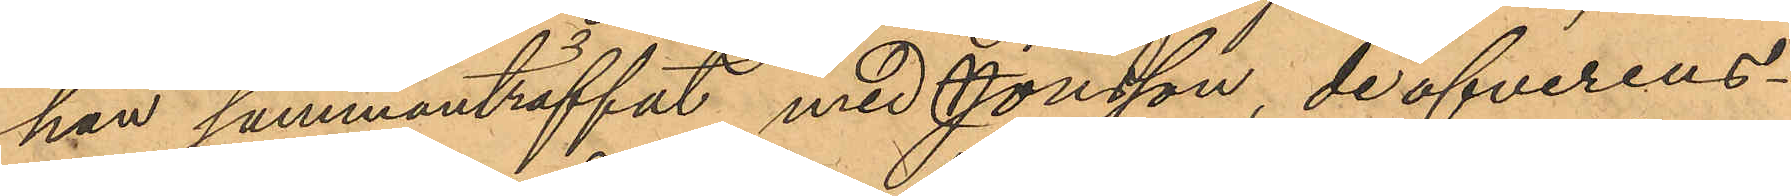han sammanträffat med Jonsson, de öfverens¬
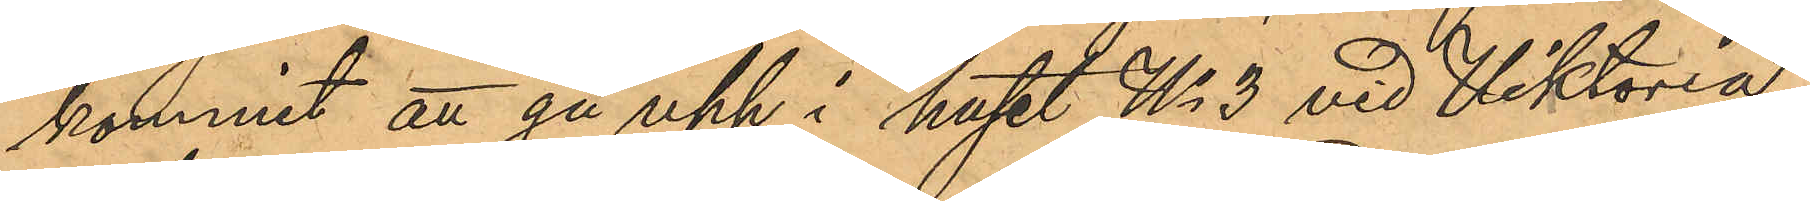kommit att gå upp i huset No 3 vid Viktoria¬
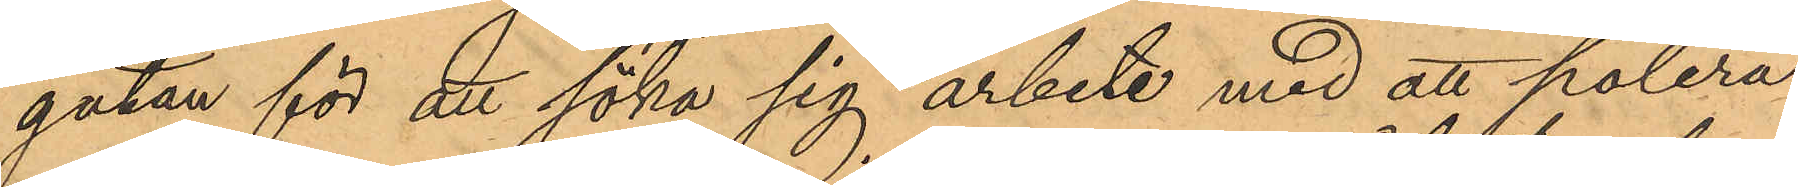gatan för att söka sig arbete med att polera
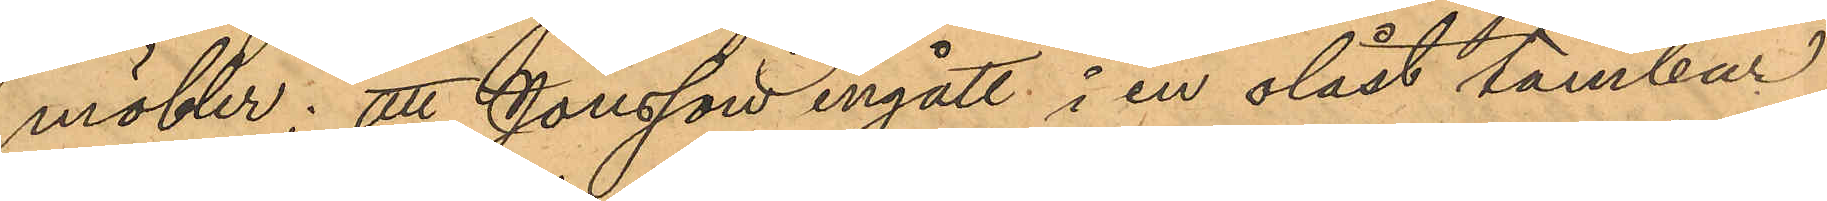möbler; att Jonsson ingått i en olåst tambur
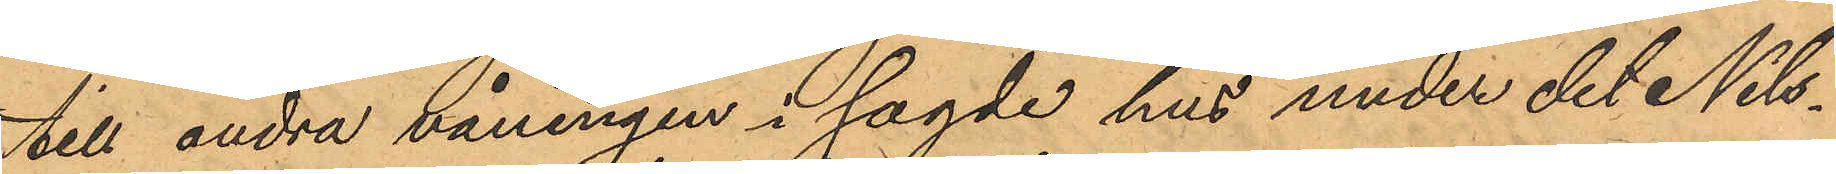till andra våningen i sagde hus under det Nils¬
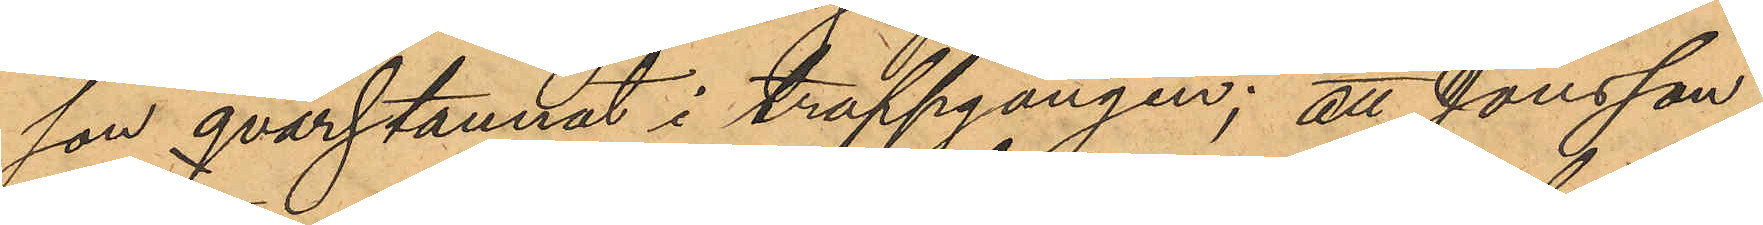son qvarstannat i trappgången; att Jonsson
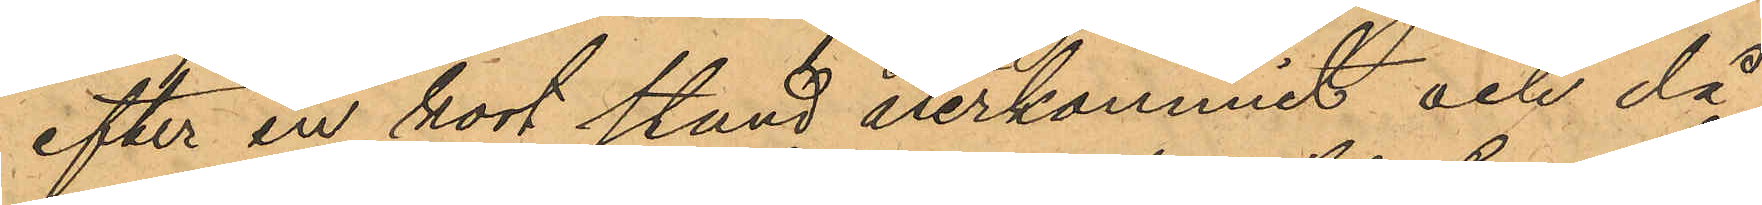efter en kort stund återkommit och då
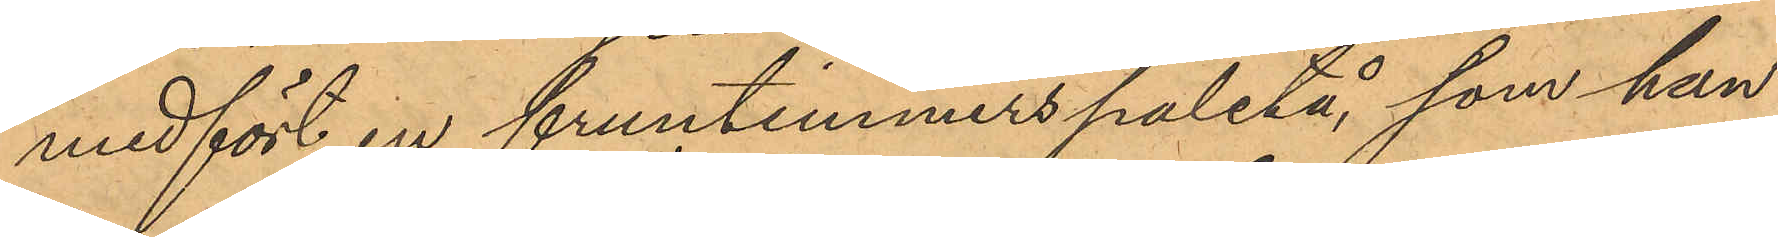medfört en fruntimmerspaletå, som han
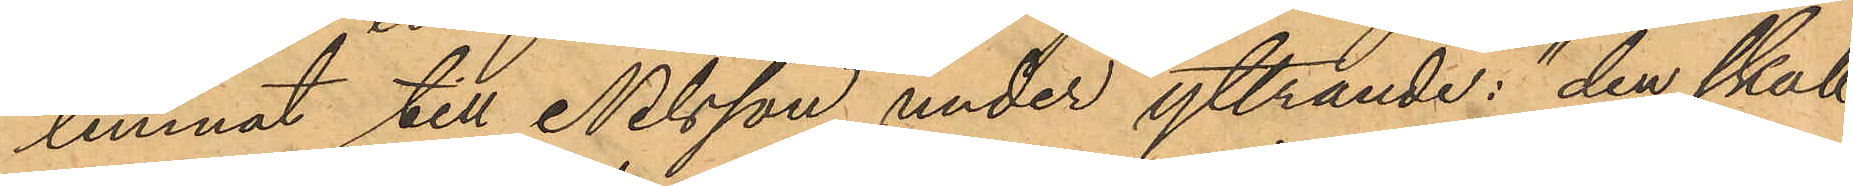lemnat till Nilsson, under yttrande: "den skall
